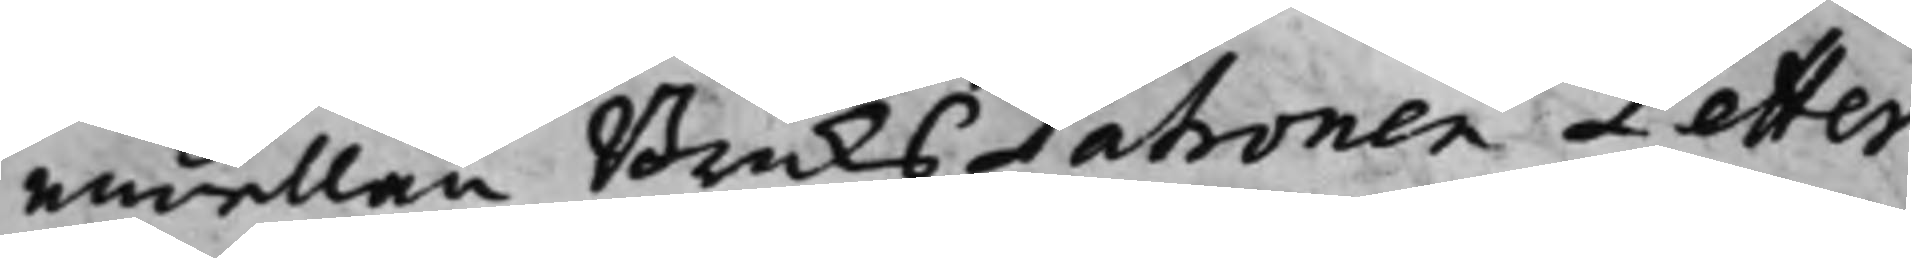emellan BruksPatronen Petter
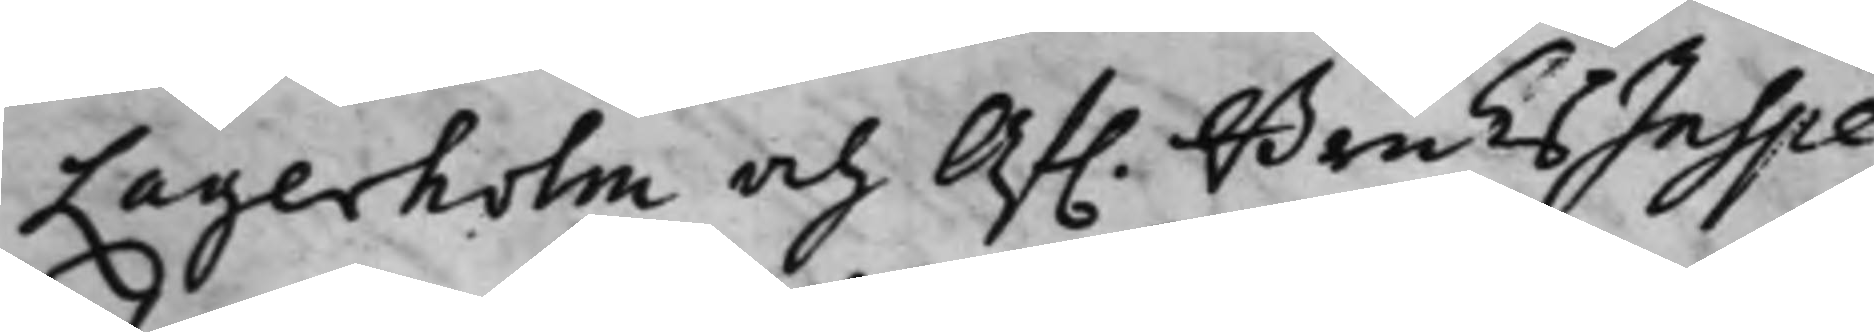Lagerholm och Af. BruksInspe¬
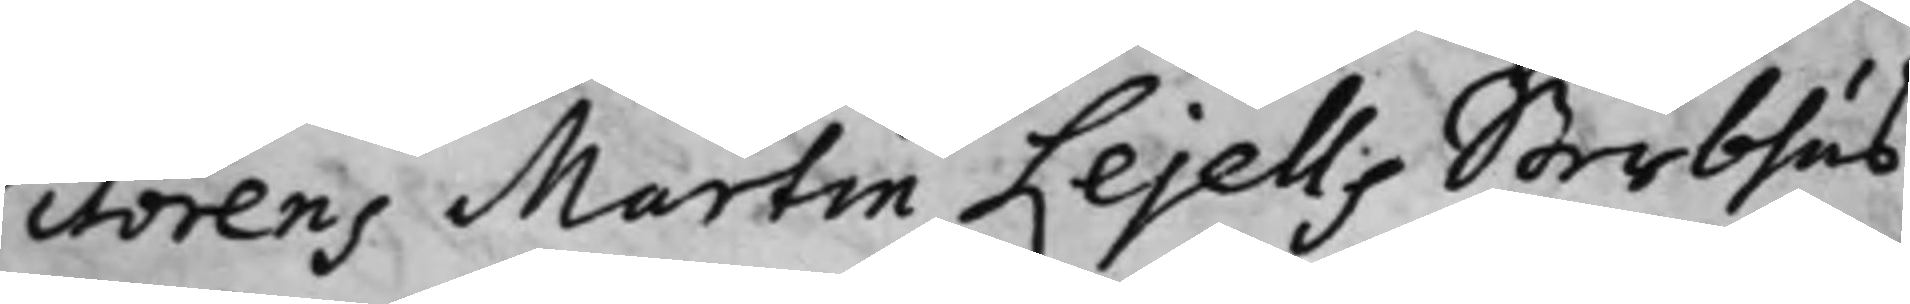ctorens Martin Lejells Sterbhus
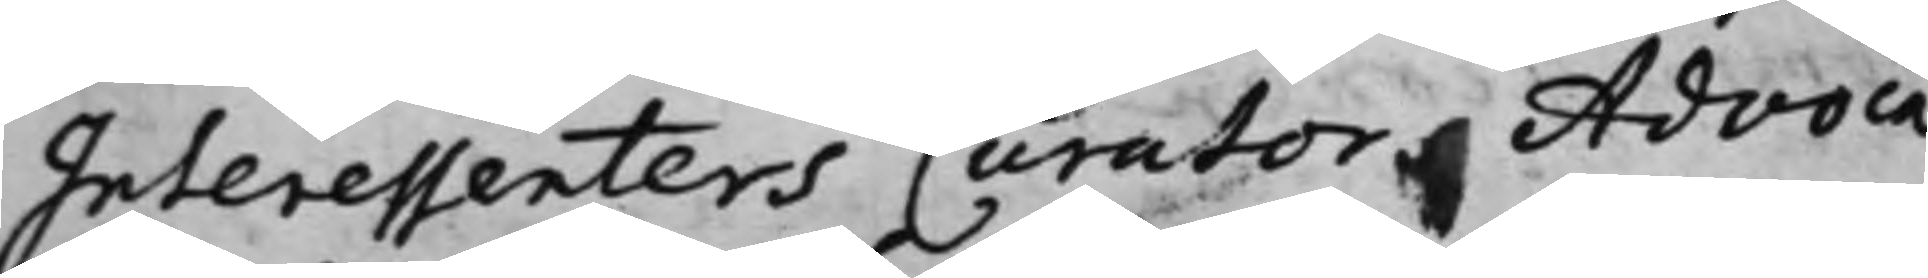Interessenters Curator Advoca¬
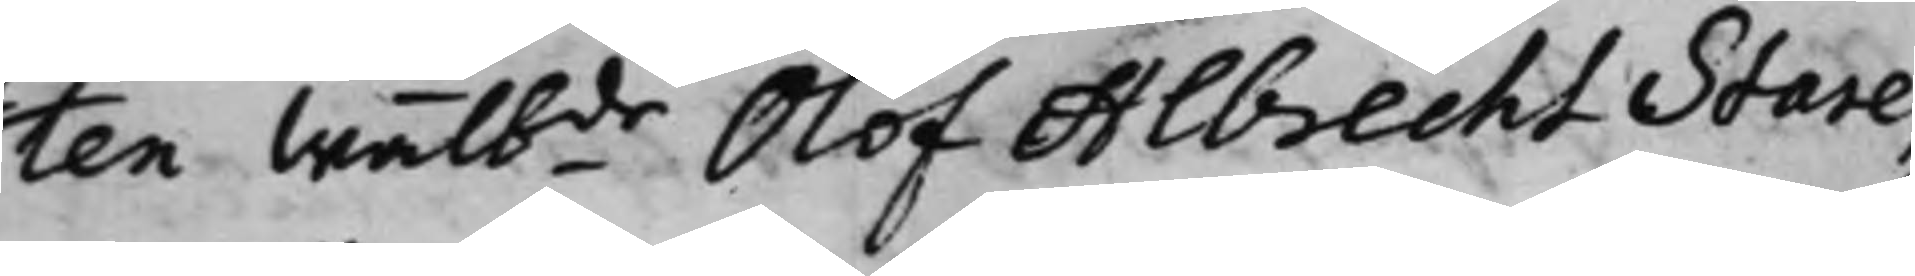ten Wälbde Olof Albrecht Stare,
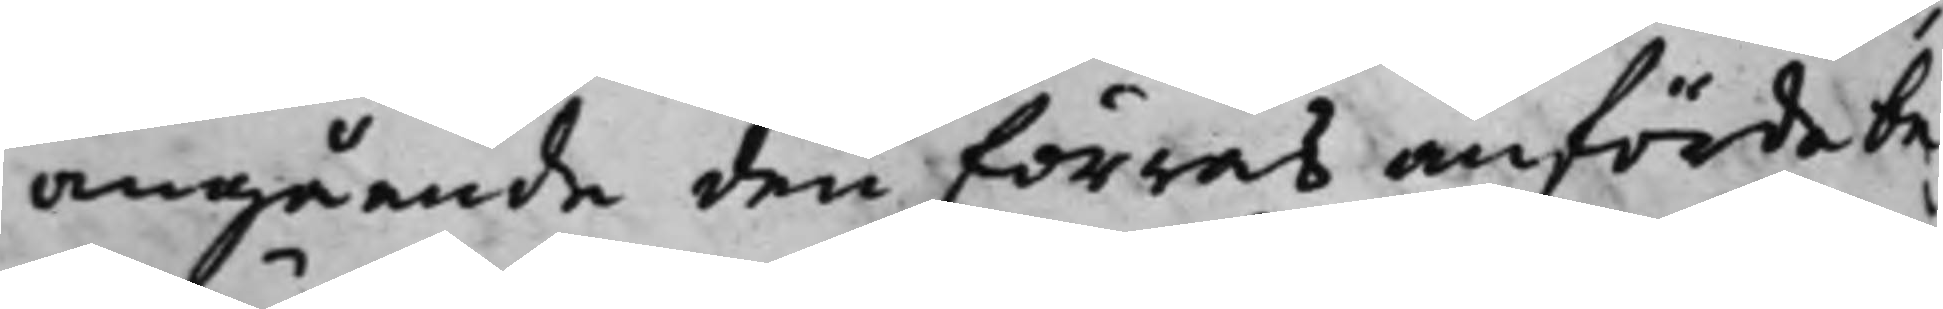angående den förres anförde be¬
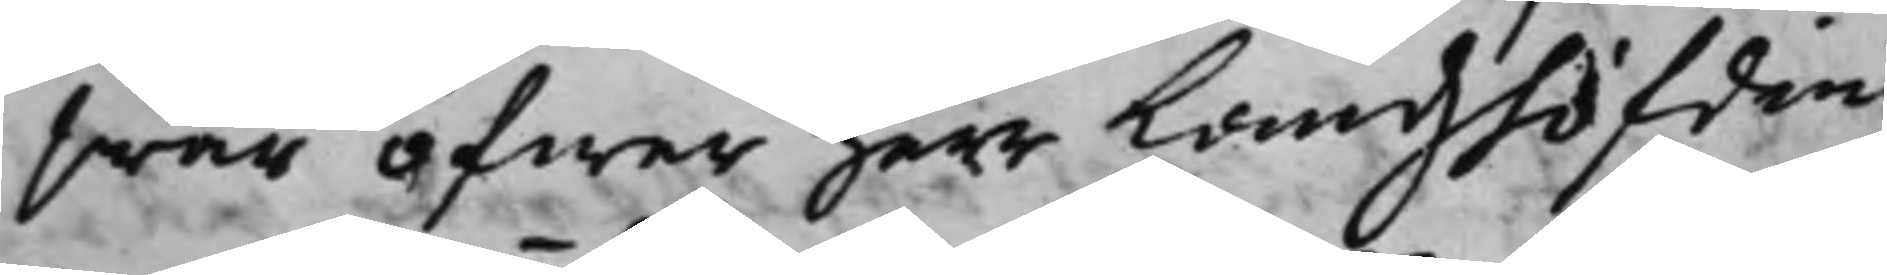swär öfwer herr Landzhöfdin¬
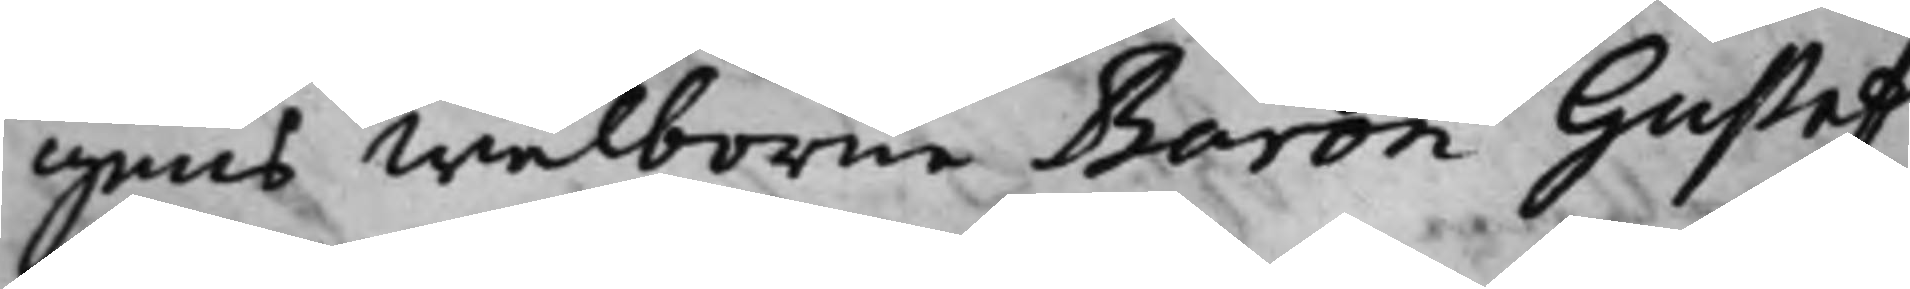gens Wälborne Baron Gustaf
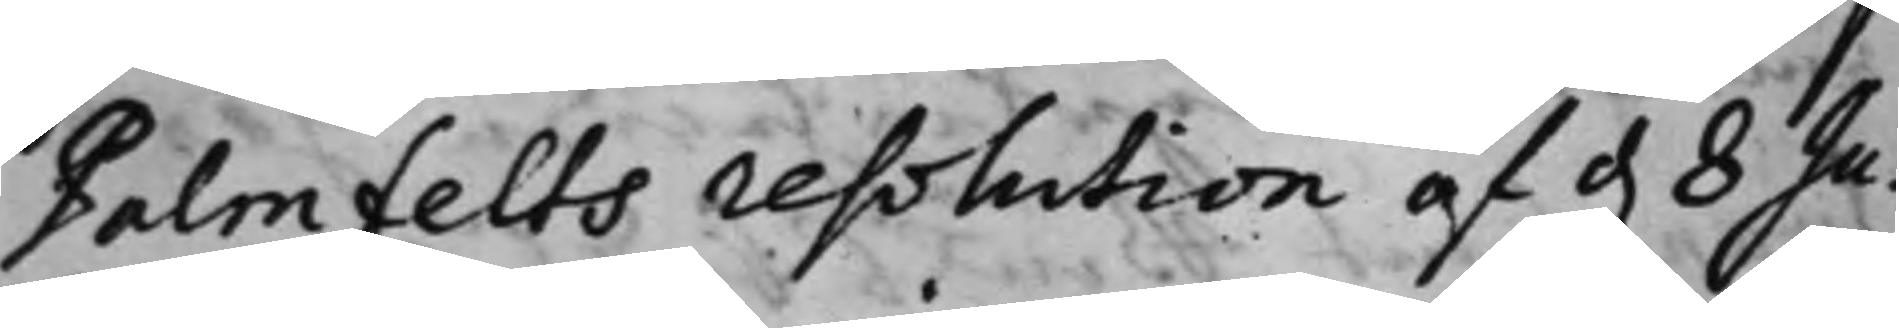Palmfelts resolution af d. 8 Ju¬
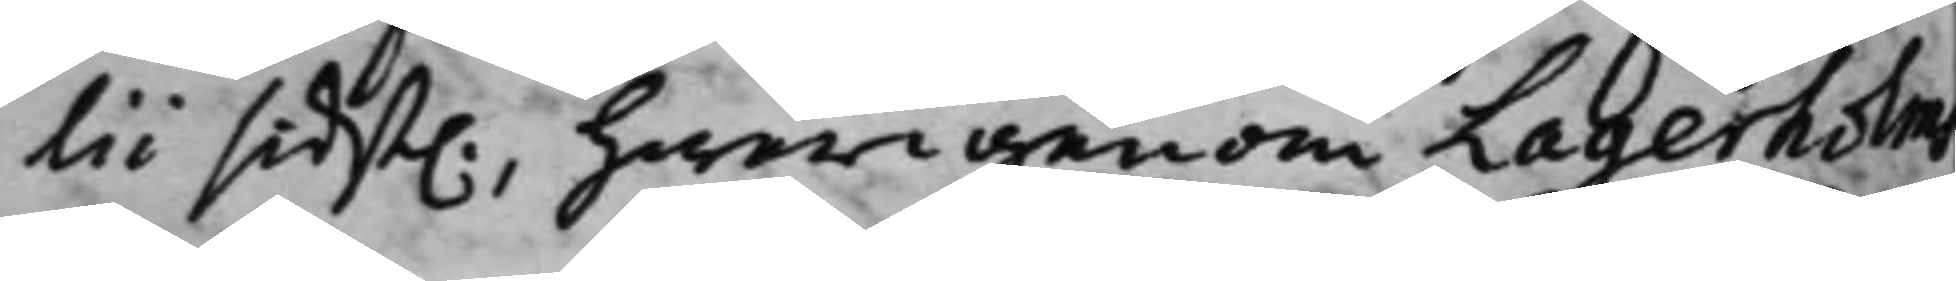lii sidst., hwarigenom Lagerholms
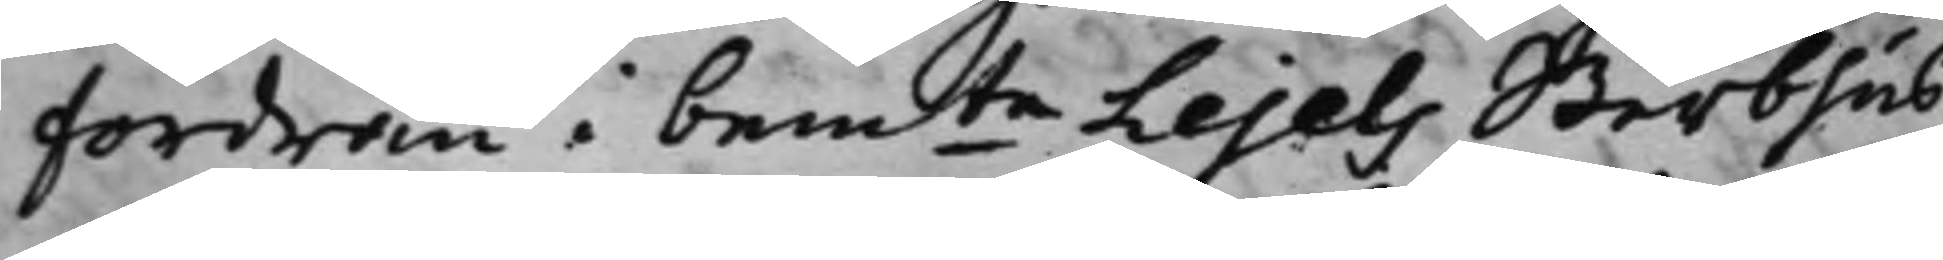fordran i bemte Lejels Sterbhus
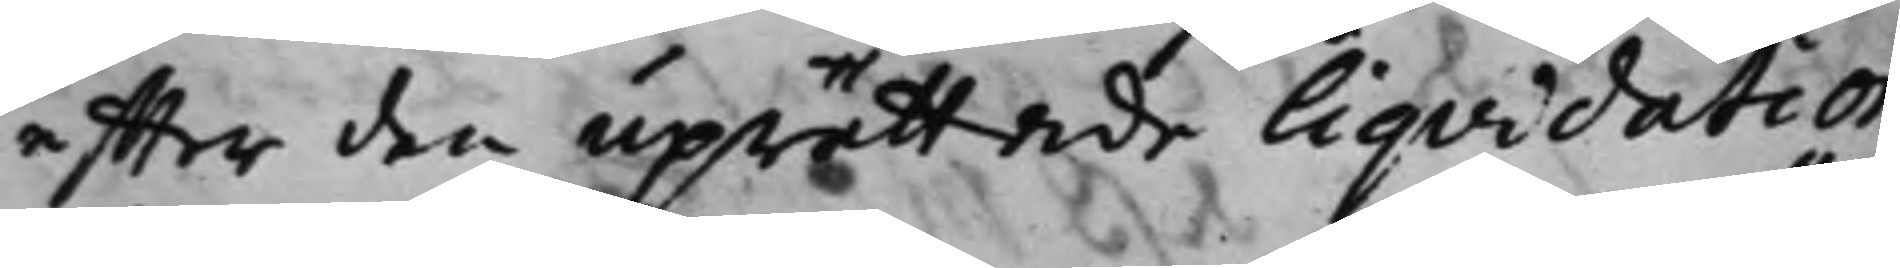effter den uprättade Liqvidation
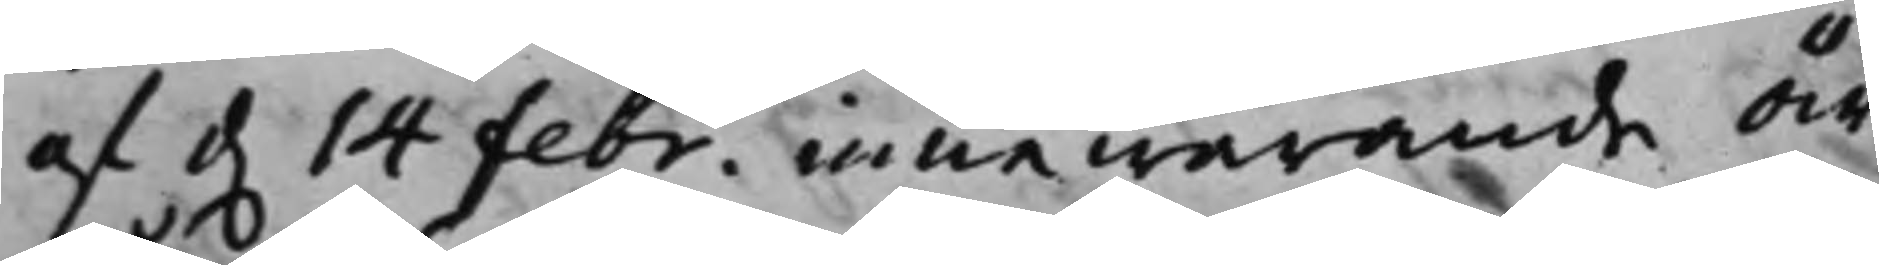af d. 14 Febr. innewarande År
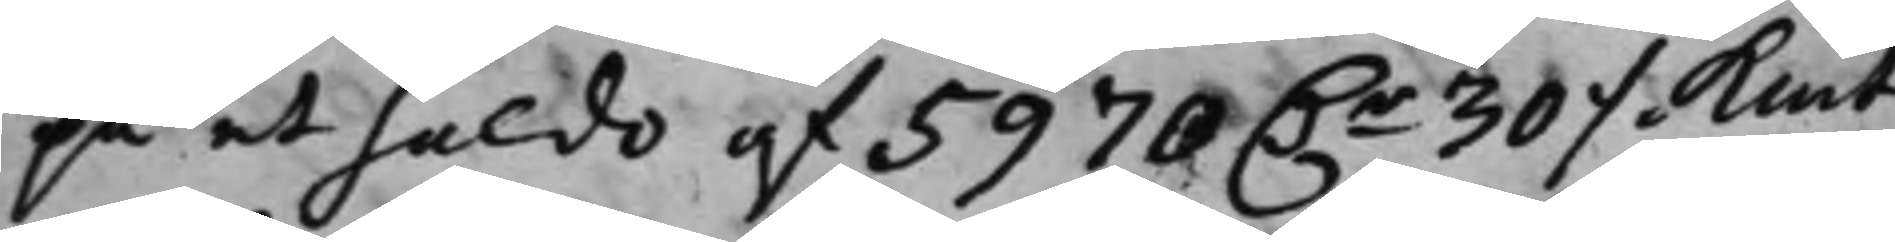på et saldo af 5970 D.r 30 ./. Kmt
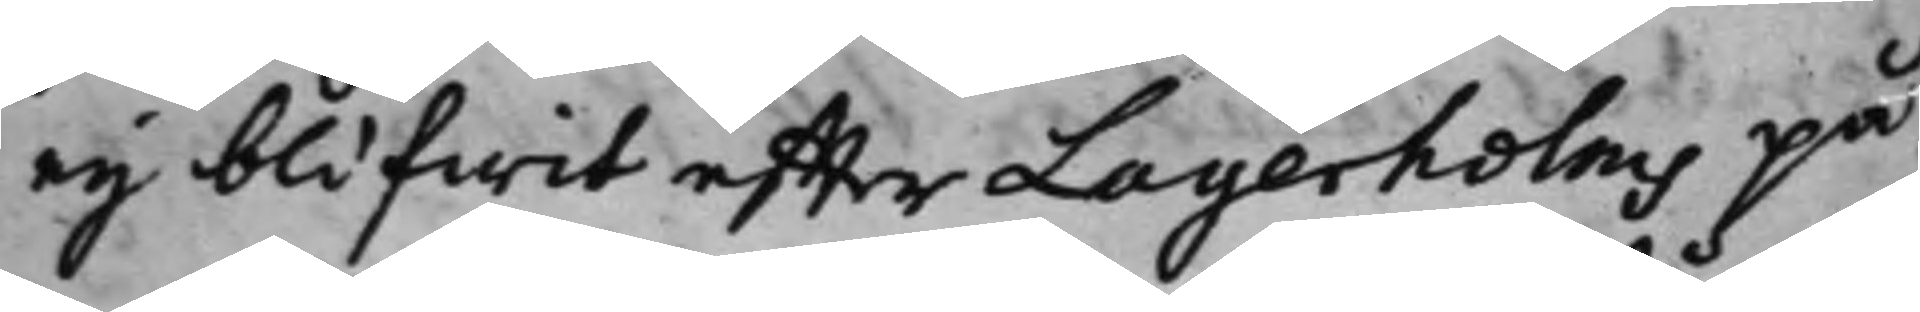ey blifwit effter Lagerholms på¬
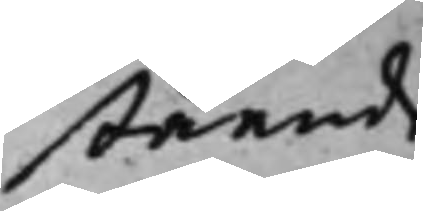stående
